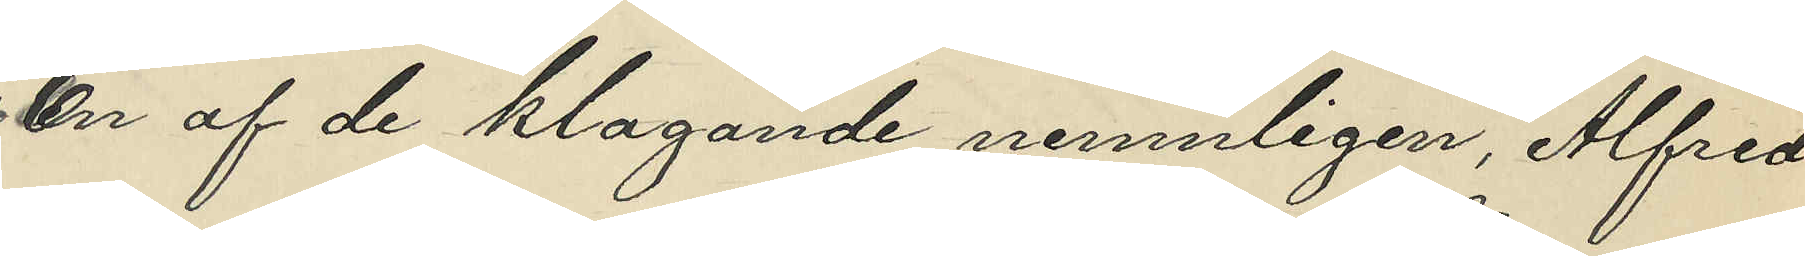En af de klagande nemnligen Alfred
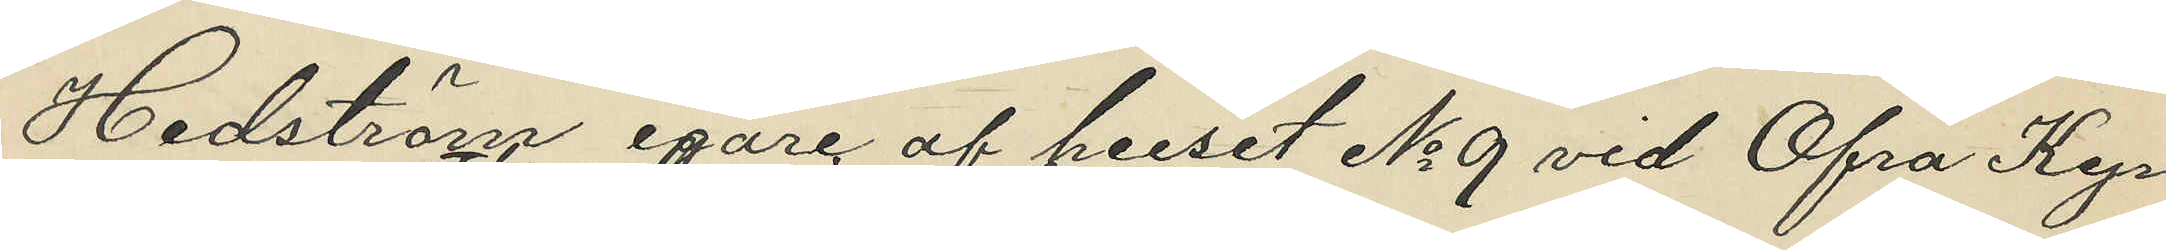Hedström egare af huset No 9 vid Öfra Kyr¬
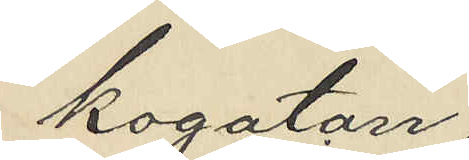kogatan
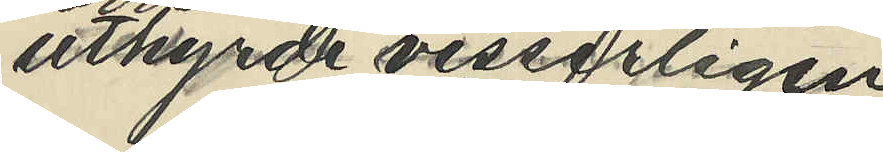uthyrde visserligen
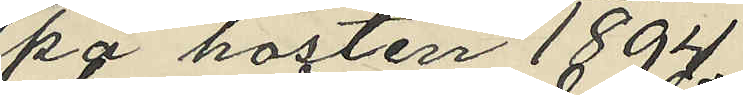på hösten 1894
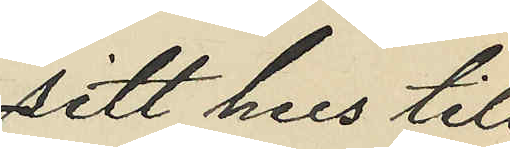sitt hus till
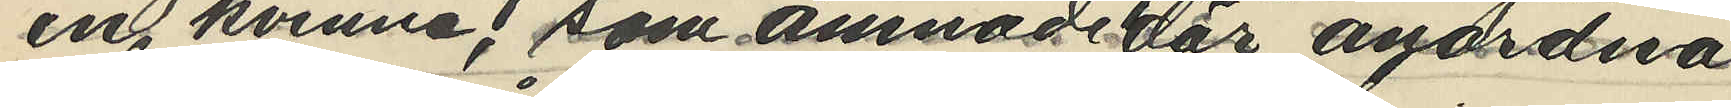en kvinna, som ämnade där anordna
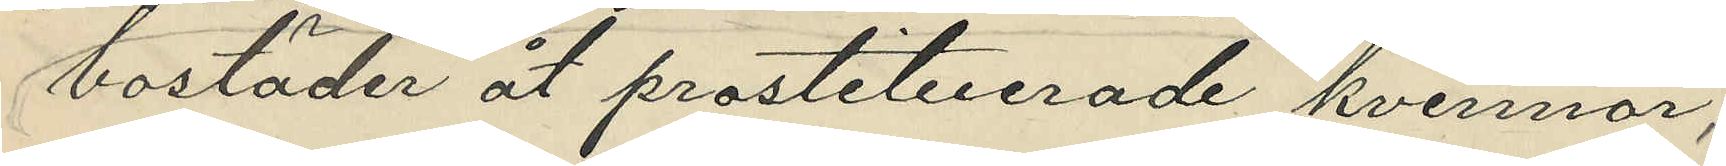bostäder åt prostituerade kvinnor,
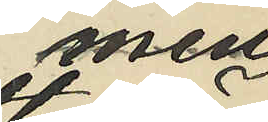men
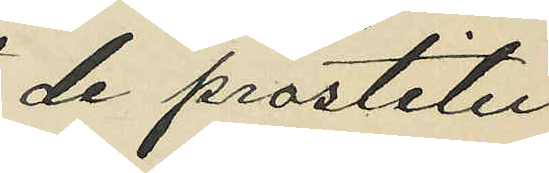de prostitu¬
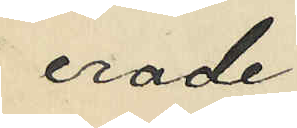erade
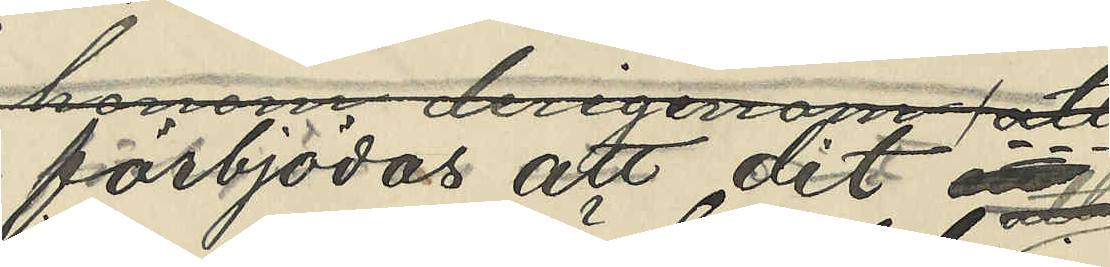förbjödas att dit
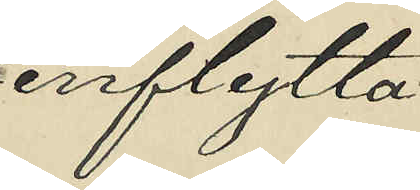inflytta
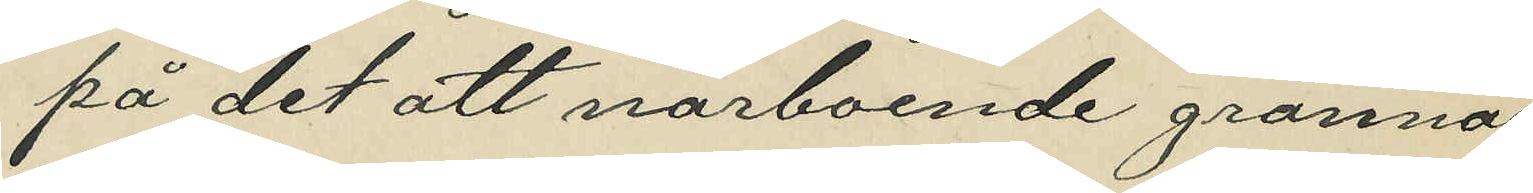på det att närboende grannar
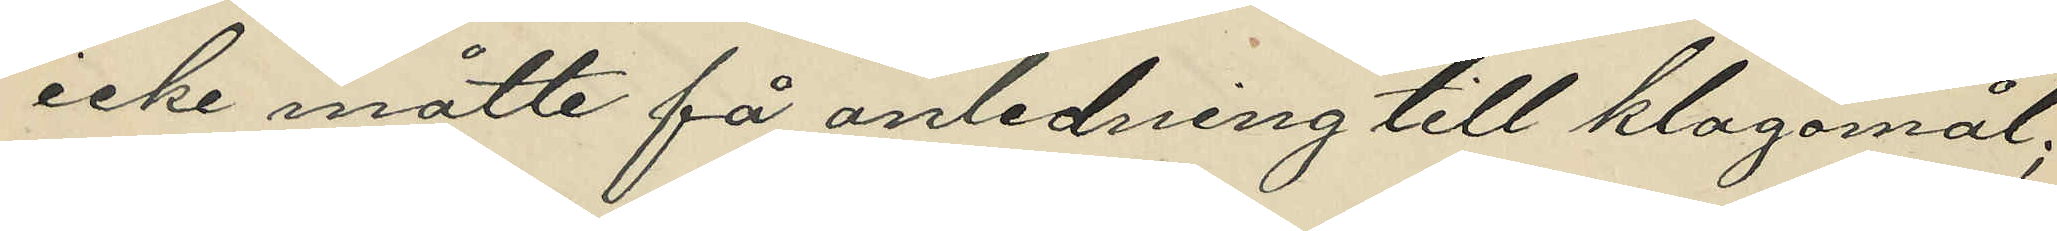icke måtte få anledning till klagomål;
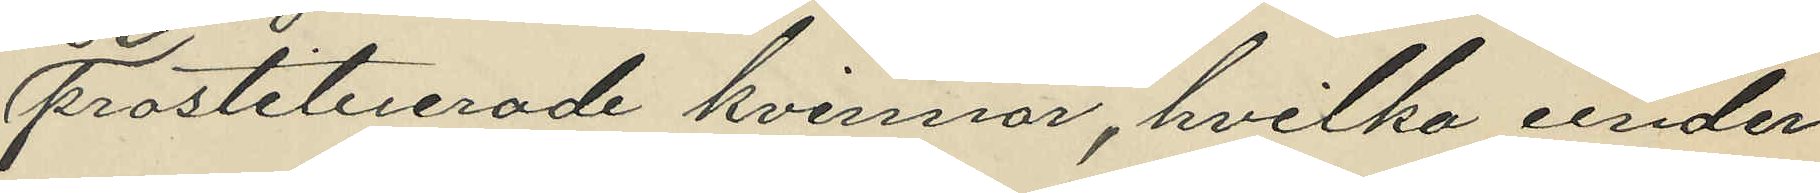prostituerade kvinnor, hvilka under
